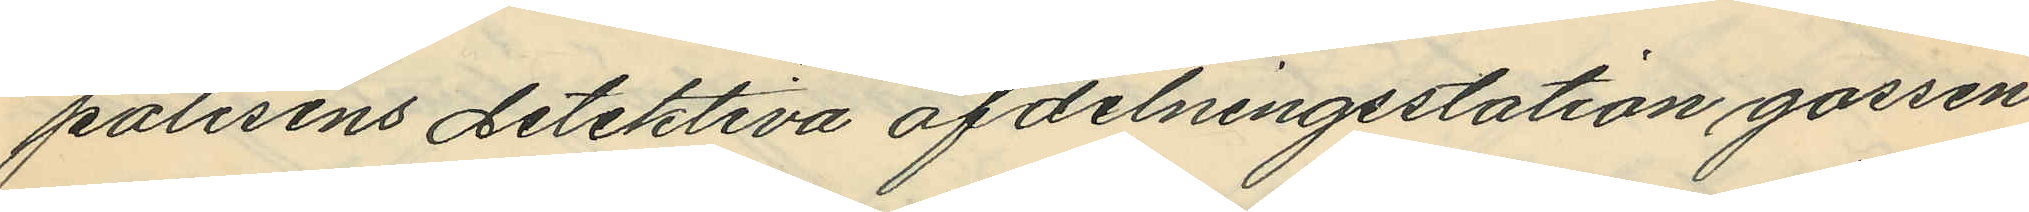polisens detektiva afdelningsstation gossen
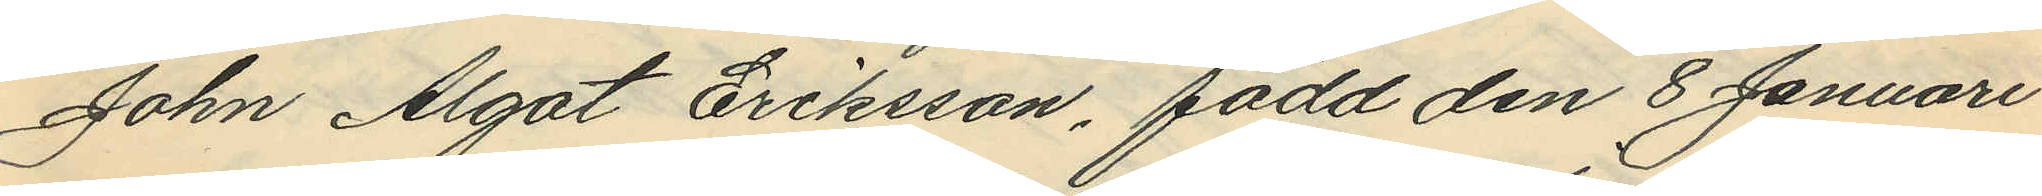John Algot Eriksson, född den 8 Januari
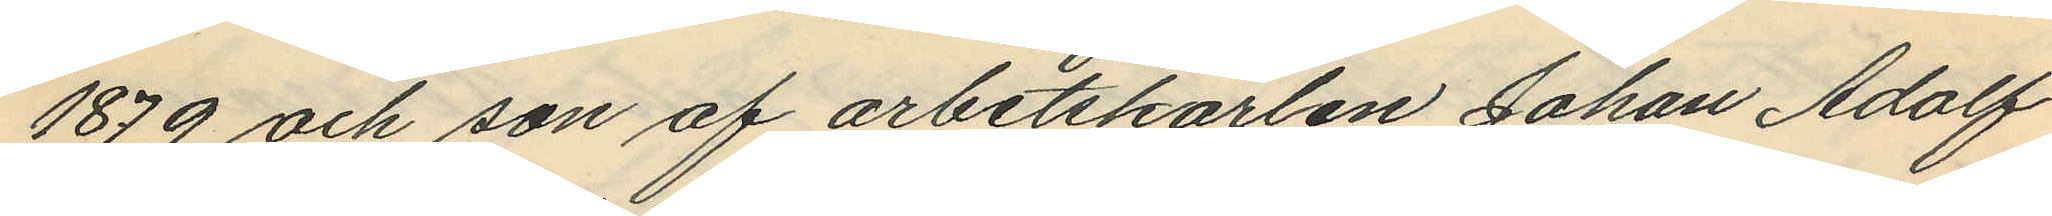1879 och son af arbetskarlen Johan Adolf
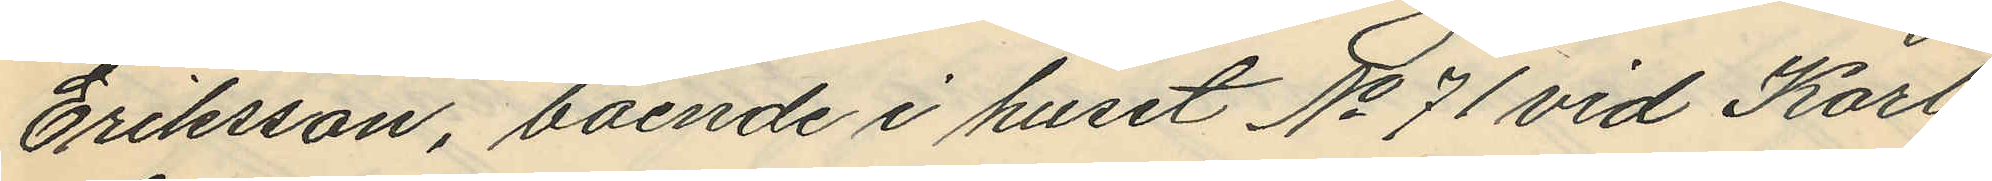Eriksson, boende i huset No 71 vid Karl
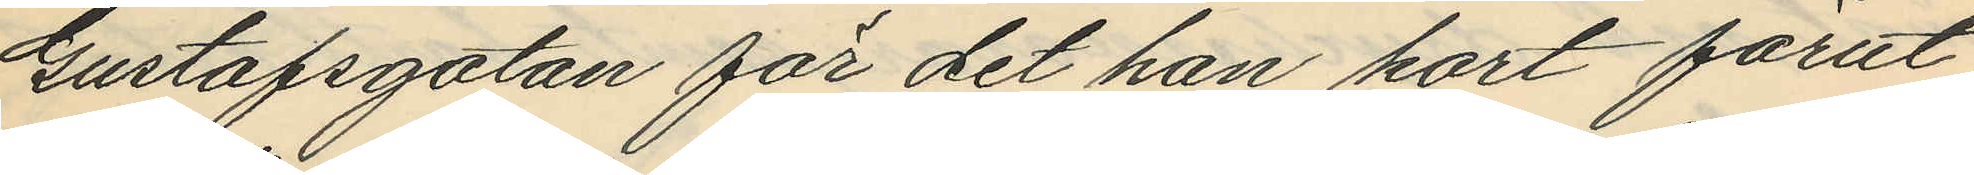Gustafsgatan för det han kort förut
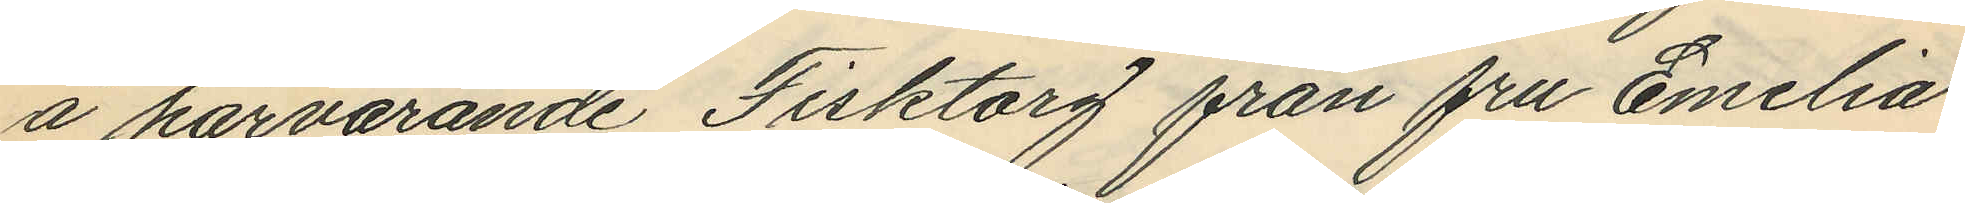å härvarande Fisktorg från fru Emelia
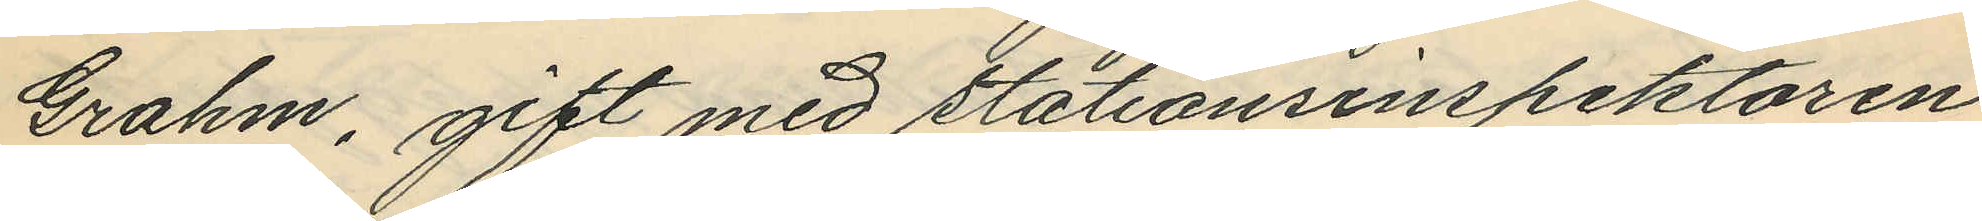Grahm, gift med stationsinspektoren
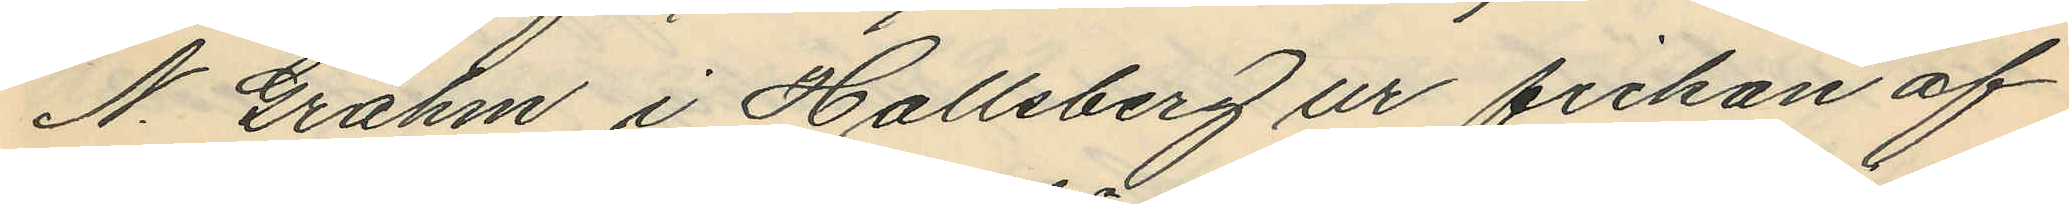N. Grahm i Hallsberg ur fickan af
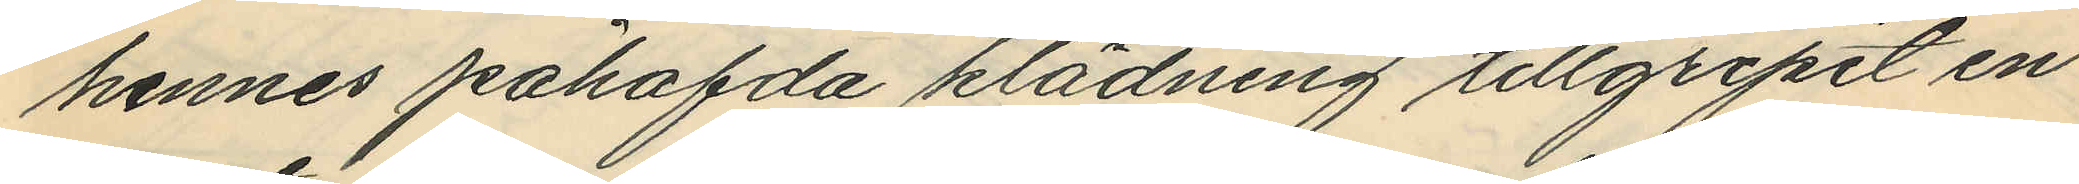hennes påhafda klädning tillgripit en
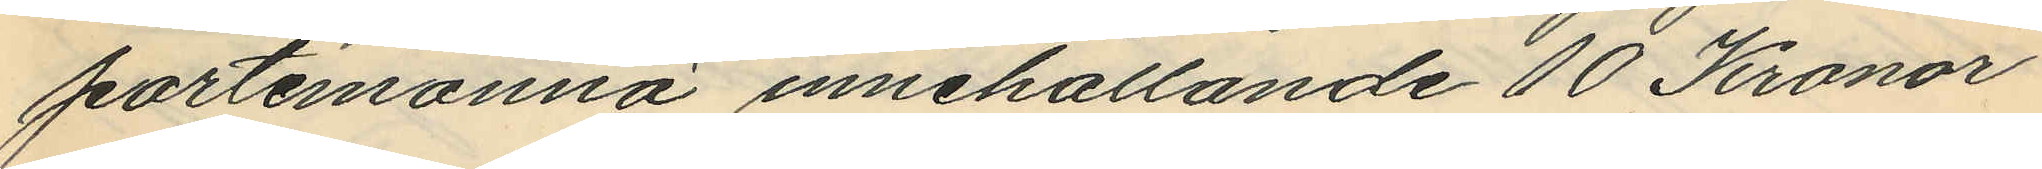portemonnä innehållande 10 Kronor
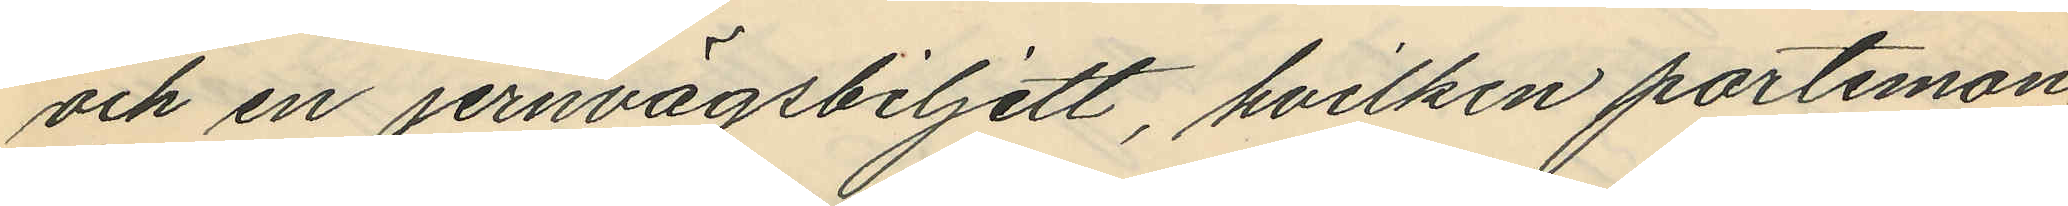och en jernvägsbiljett, hvilken portmon¬
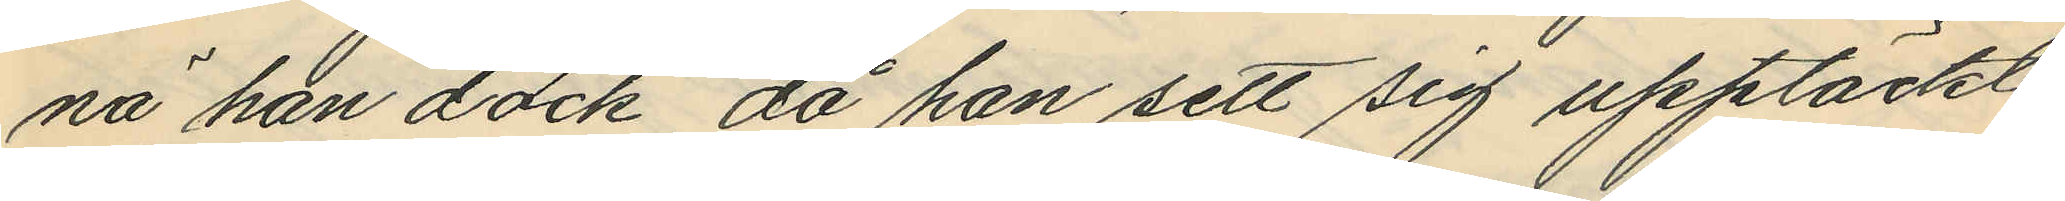nå han dock då han sett sig upptäckt
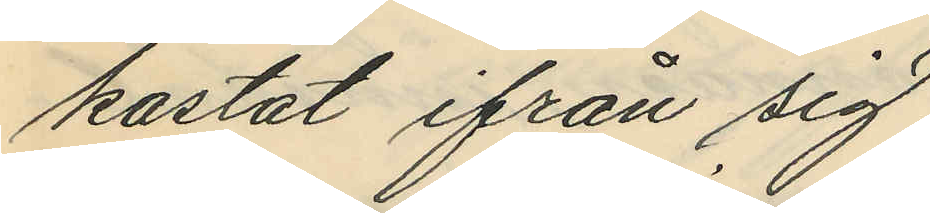kastat ifrån sig
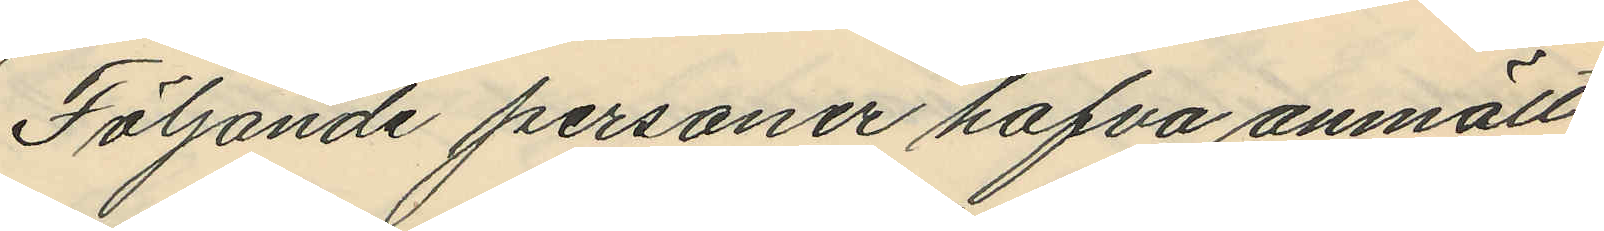Följande personer hafva anmält,
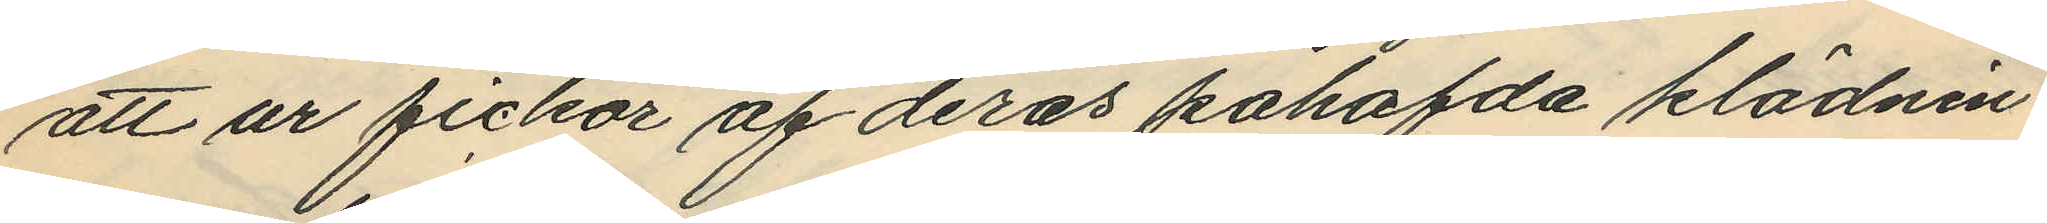att ur fickor af deras påhafda klädnin¬
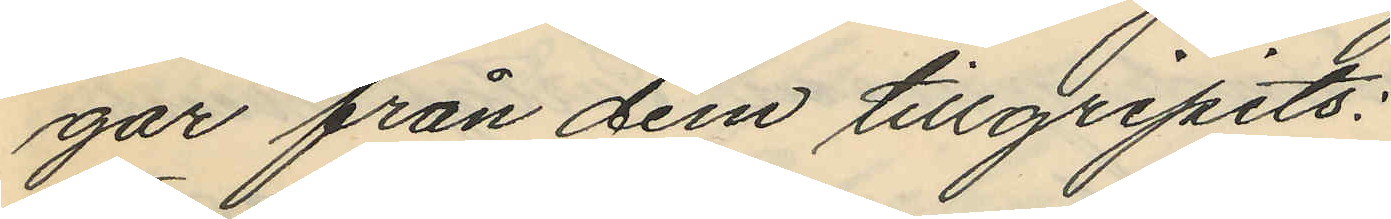gar från dem tillgripits:
